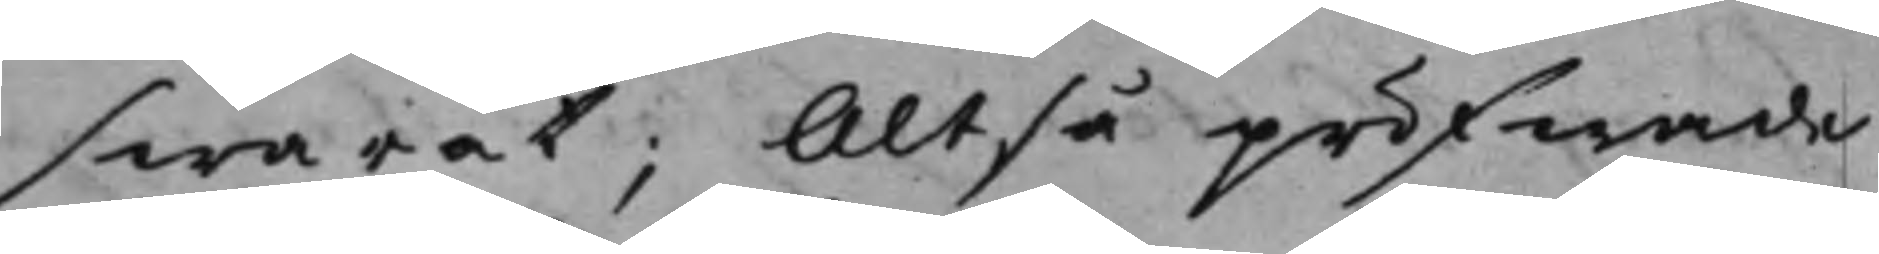swarat; Altså pröfwade
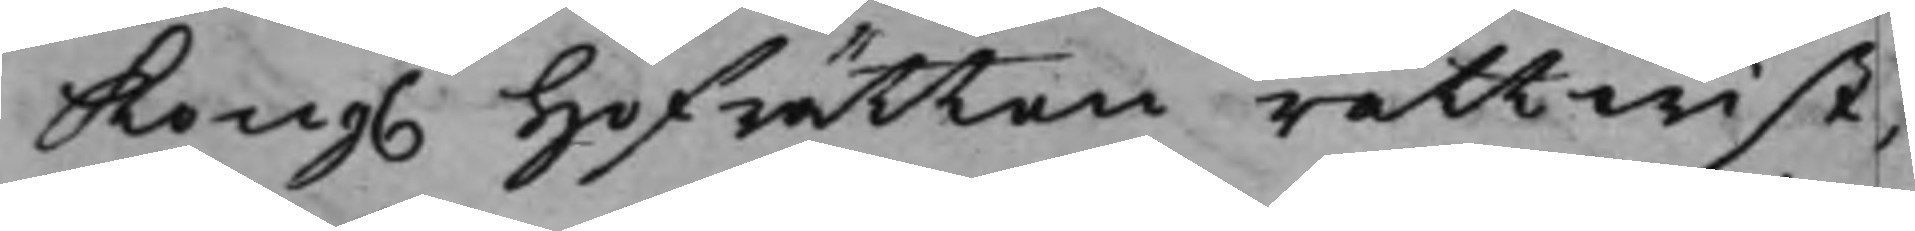Kong. Hofrätten rättwist,
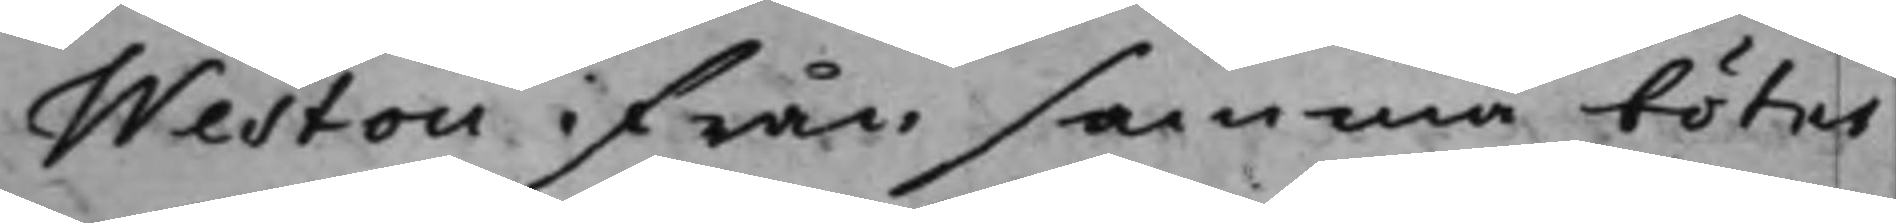Westou ifrån samma böter
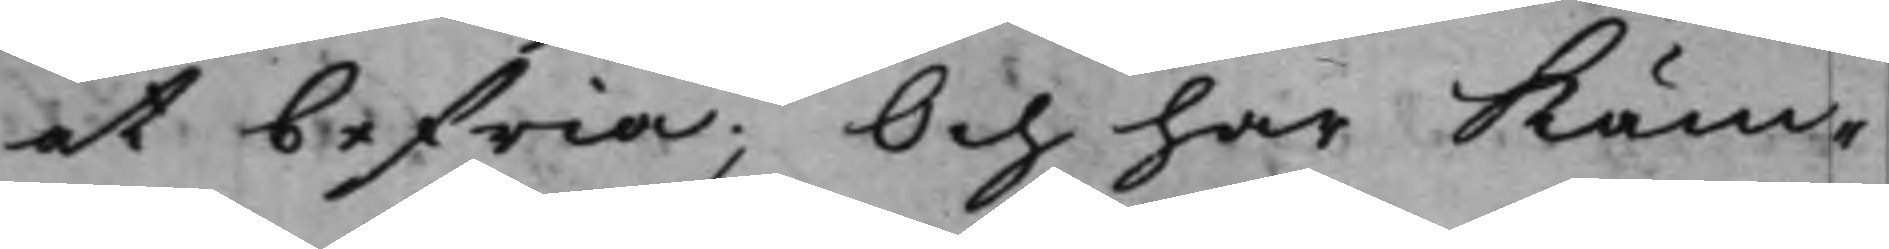at befria; Och har Käm¬
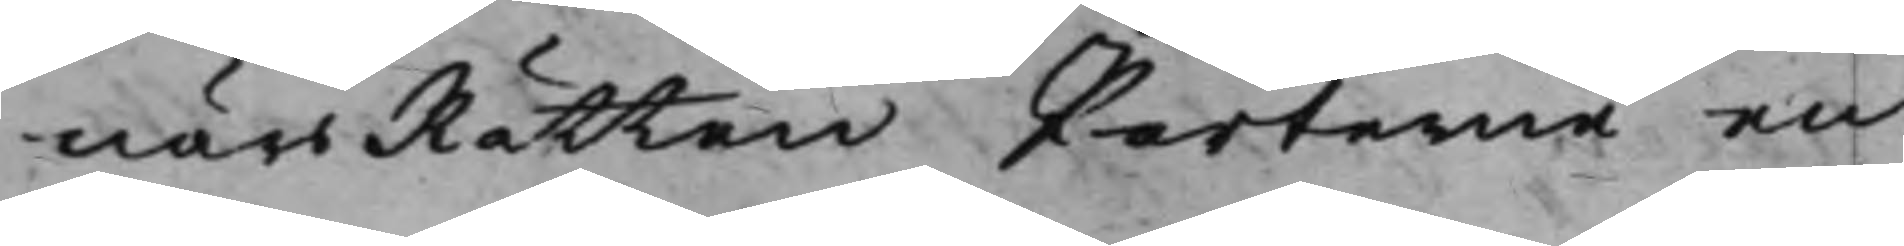närsRätten Parterne en
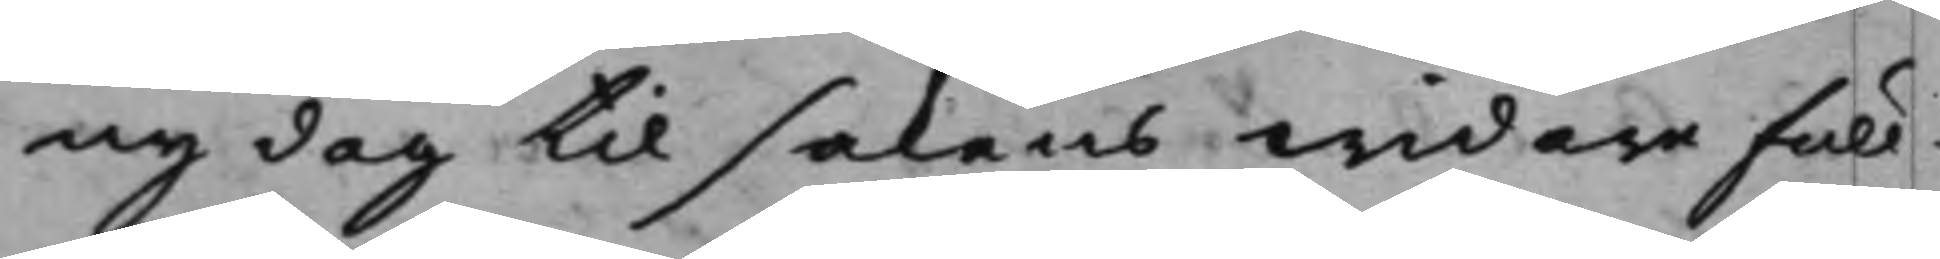ny dag til sakens widare full¬
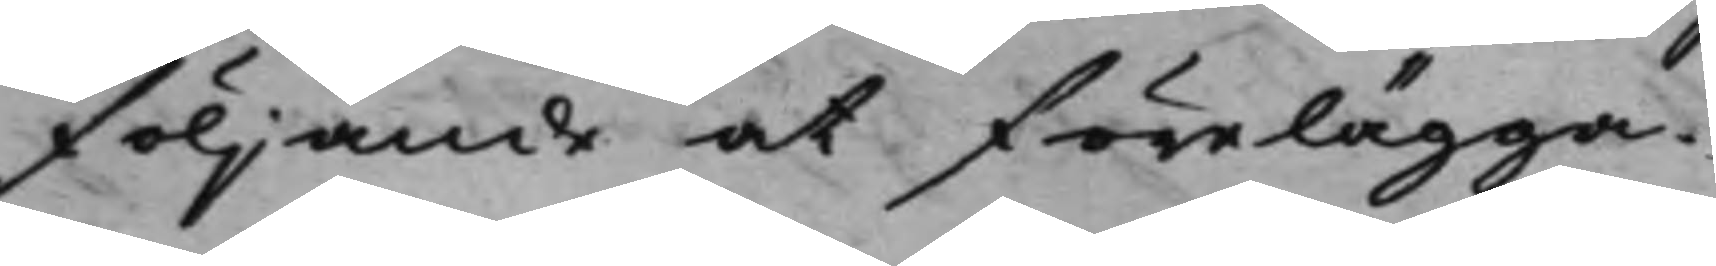följande at förelägga.
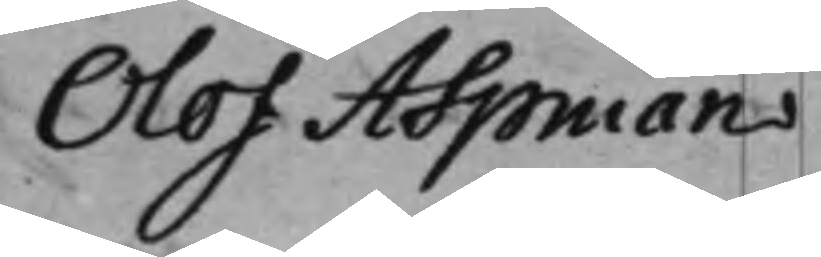Olof Aspman
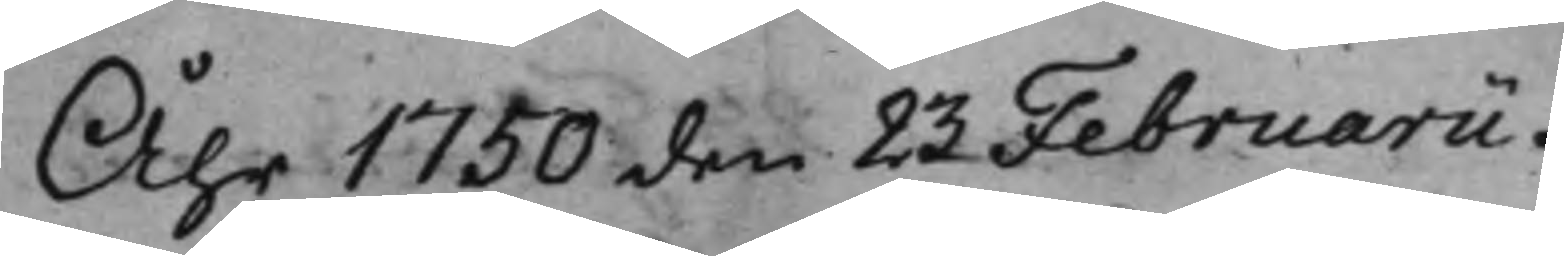Åhr 1750 den 23 Februarii.
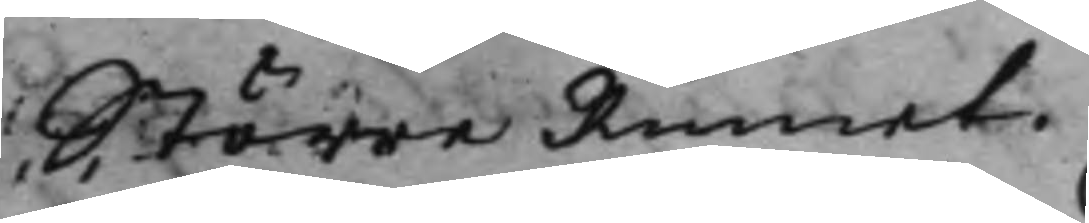Större Rummet.
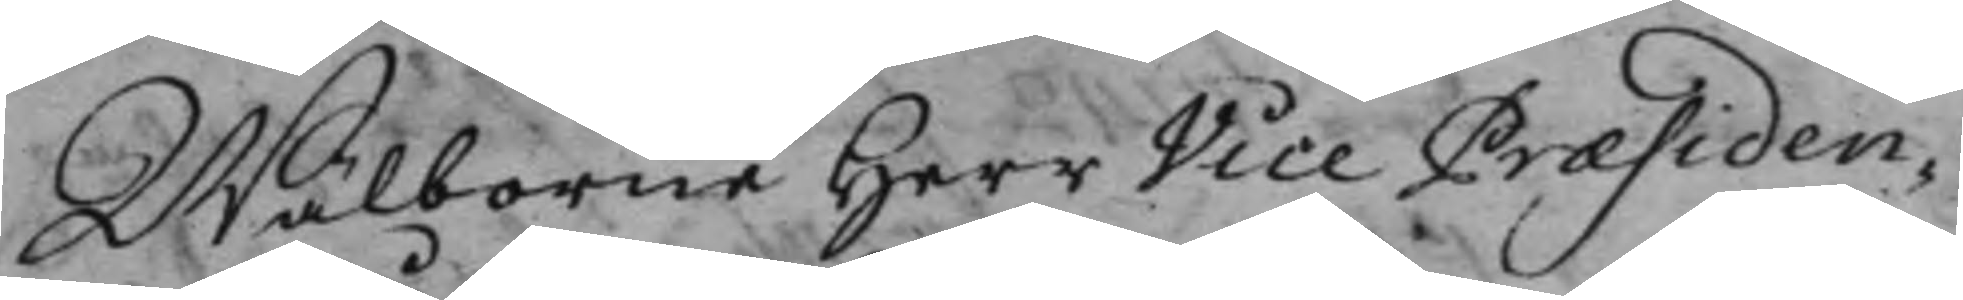Wälborne Herr Vice Præsiden¬
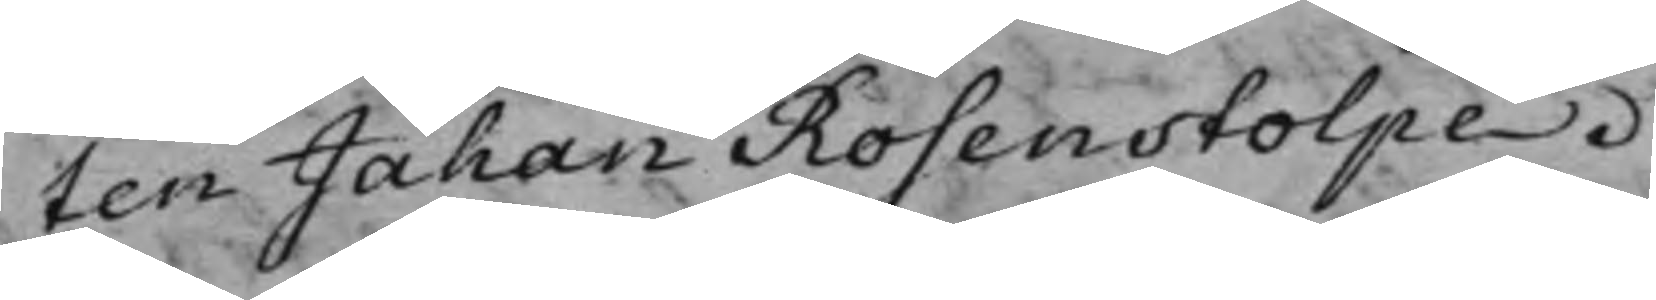ten Jahan Rosenstolpe.
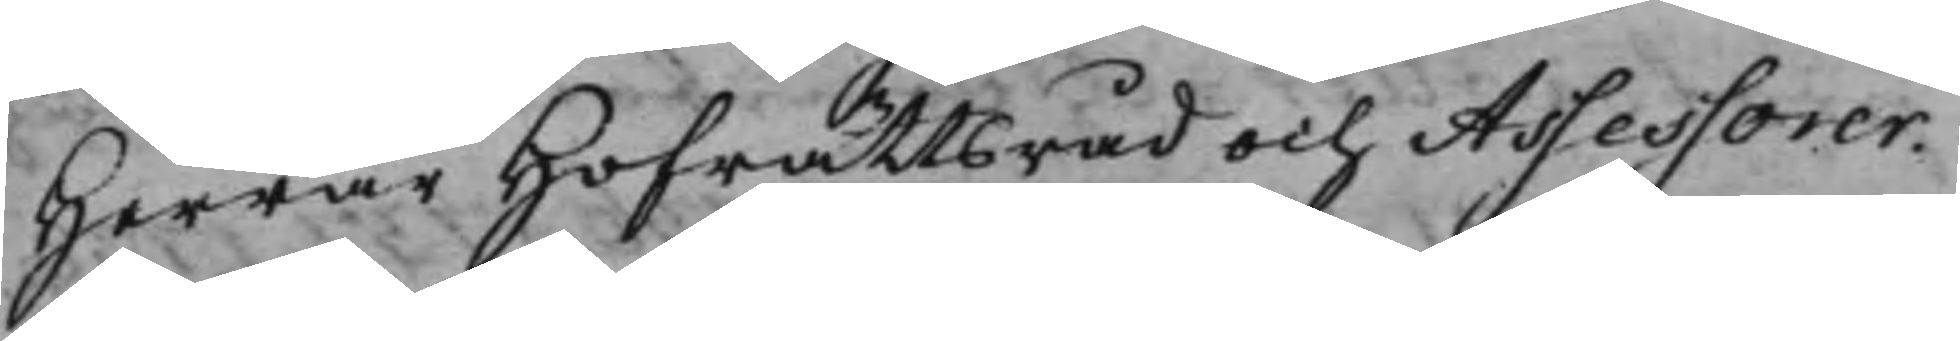Herrar Hofrättsråd och Assessorer.
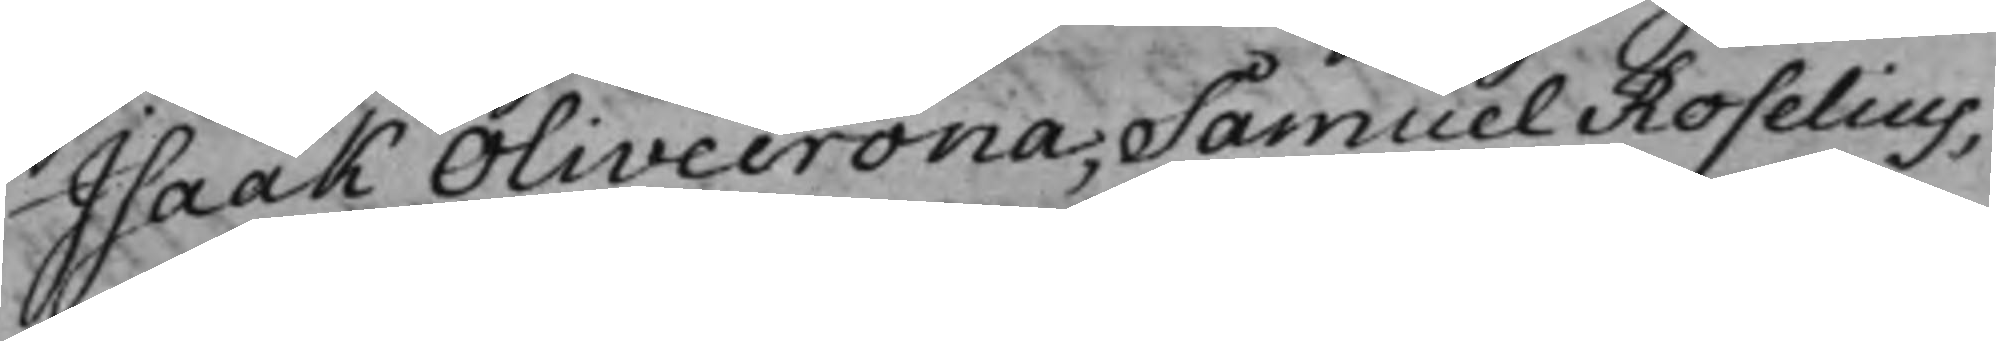Isaak Olivecrona, Samuel Roselius,
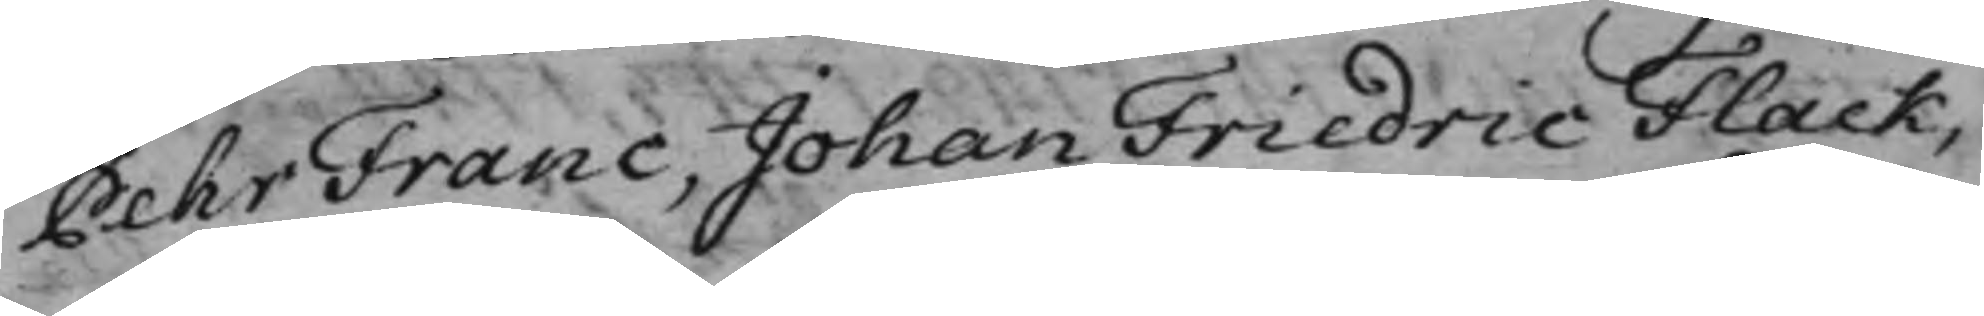Pehr Franc, Johan Friedric Flack,
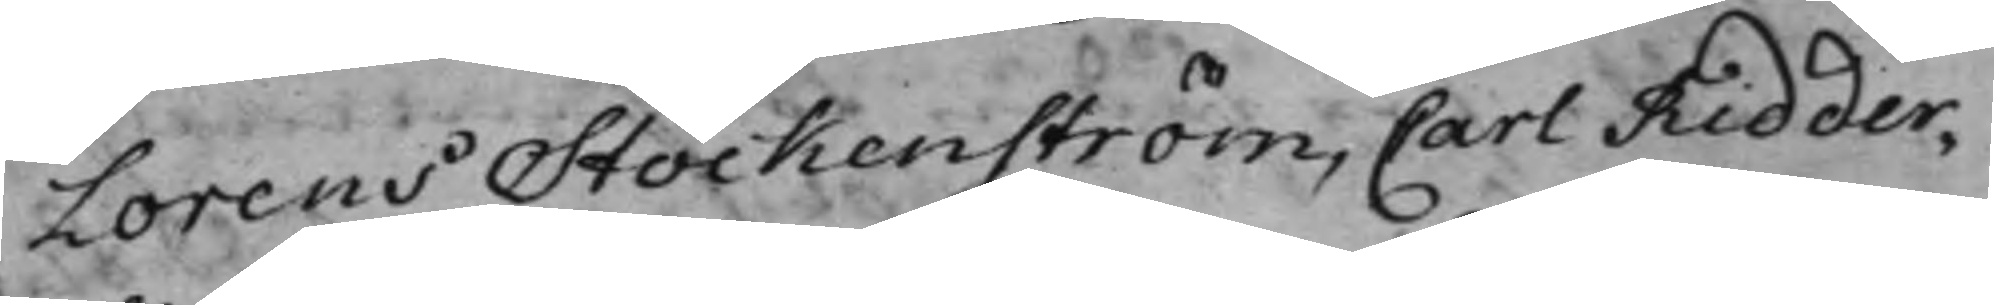Lorens Stockenström, Carl Ridder¬
